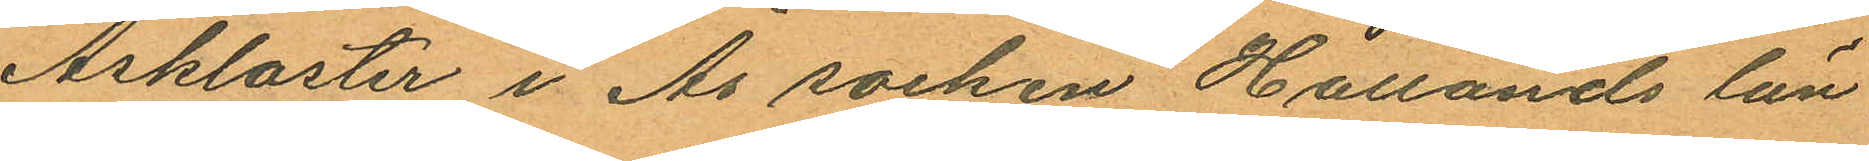Åskloster i Ås socken Hallands län
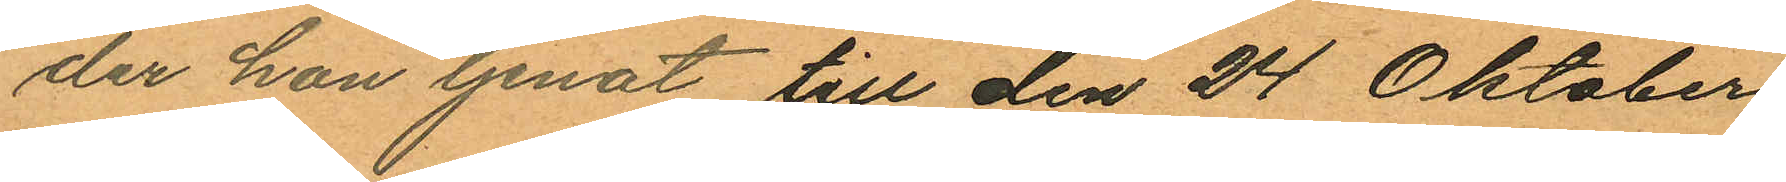der hon tjenat till den 24 Oktober
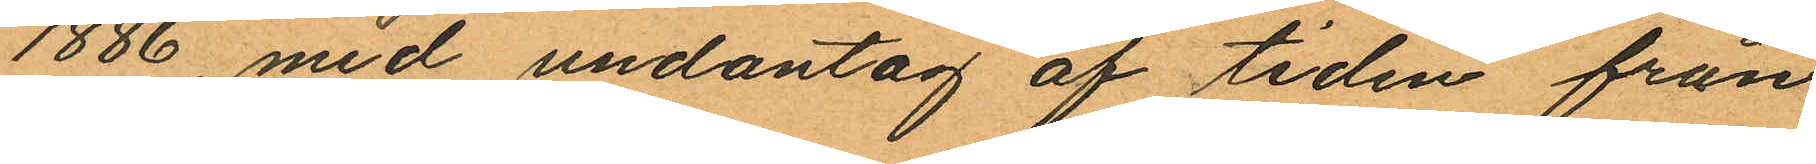1886, med undantag af tiden från
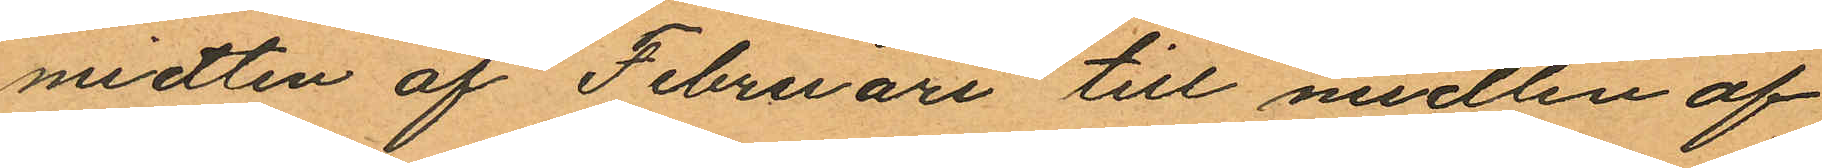midten af Februari till midten af
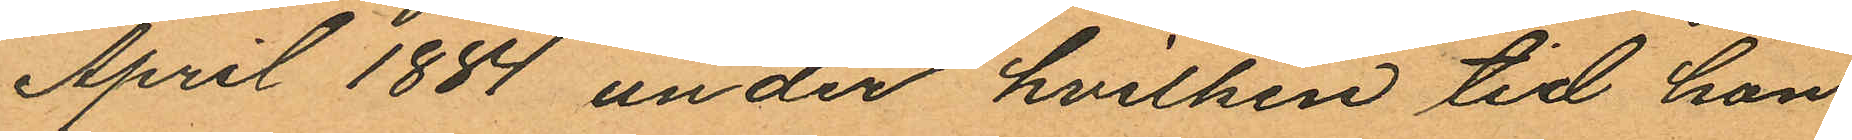April 1884 under hvilken tid hon
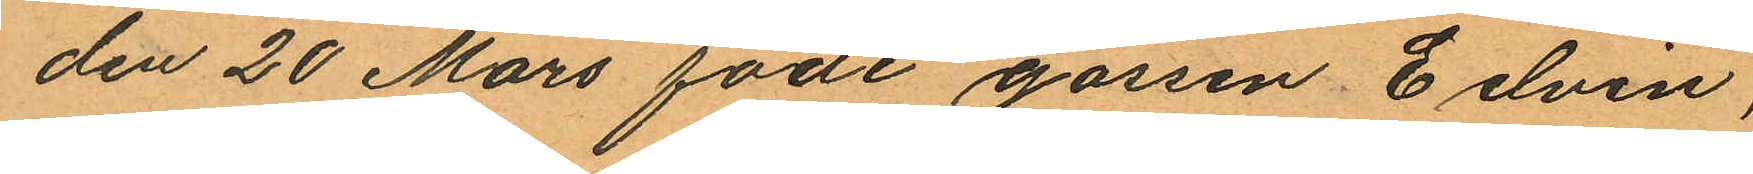den 20 Mars födt gossen Edvin,
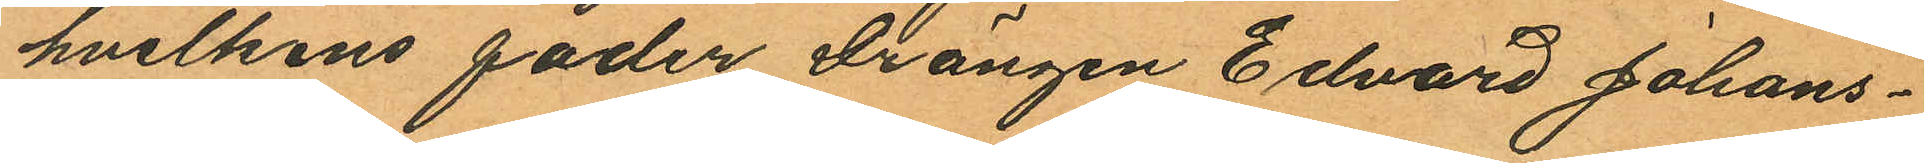hvilkens fader Drängen Edvard Johans¬
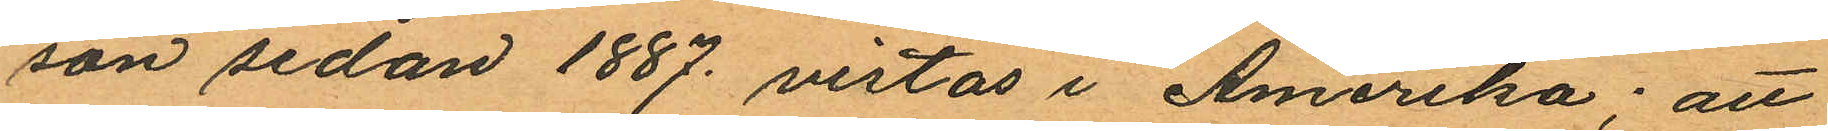son sedan 1887 vistas i Amerika: att
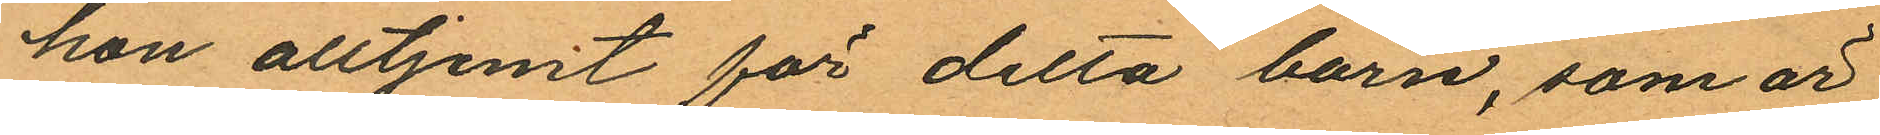hon alltjemt för detta barn, som är
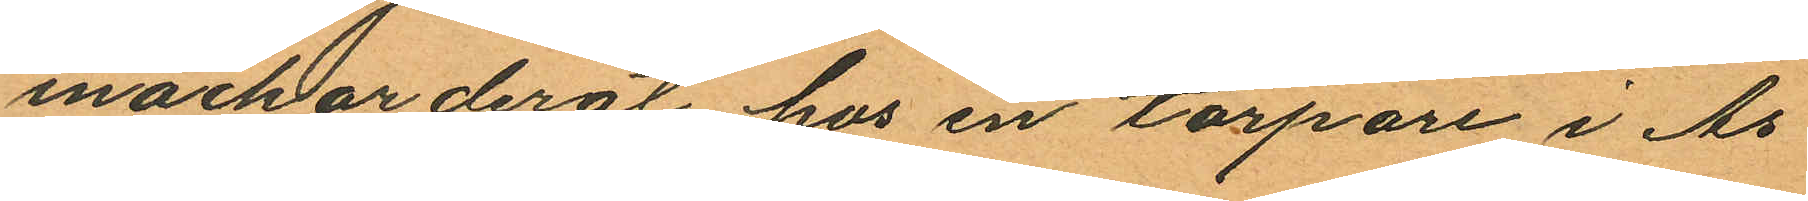inackorderat hos en torpare i Ås
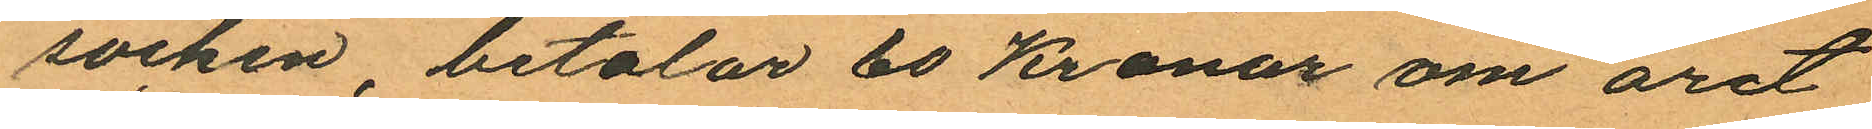socken, betalar 60 Kronor om året
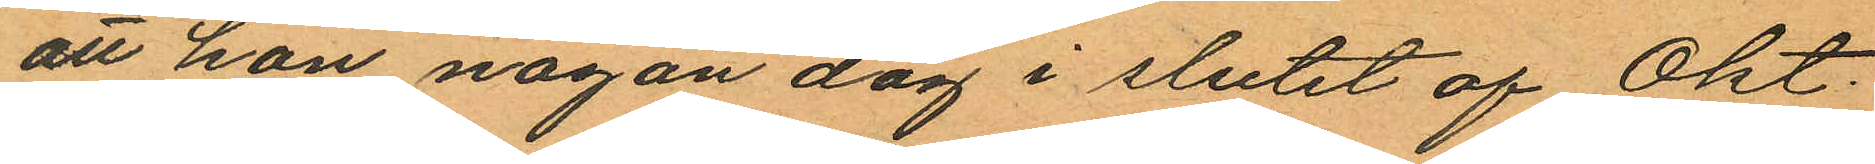att hon någon dag i slutet af Okt.
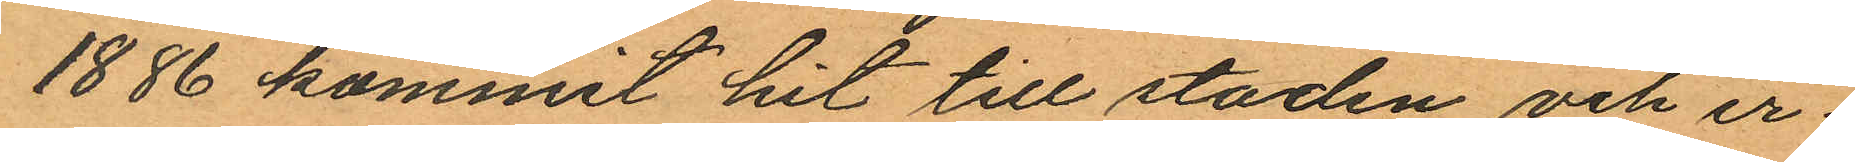1886 kommit hit till staden och er¬
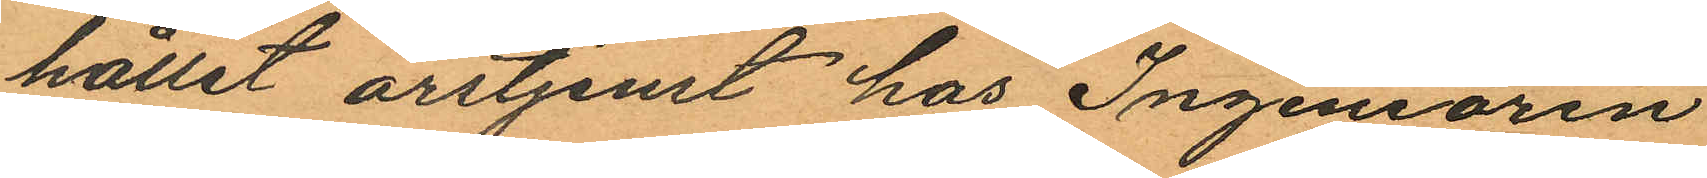hållit årstjenst hos Ingeniören
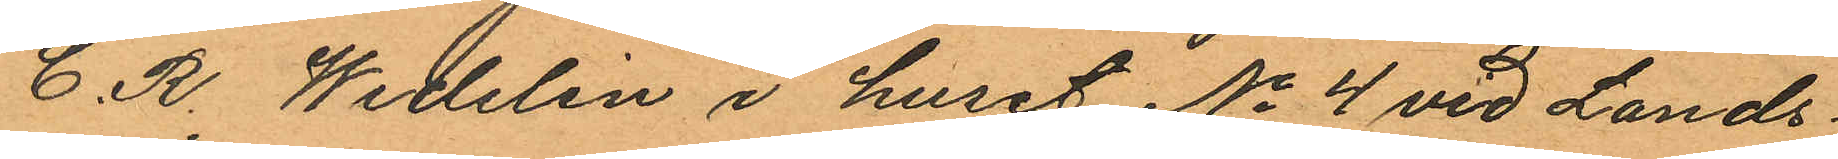C. R. Wedelin i huset No 4 vid Lands¬
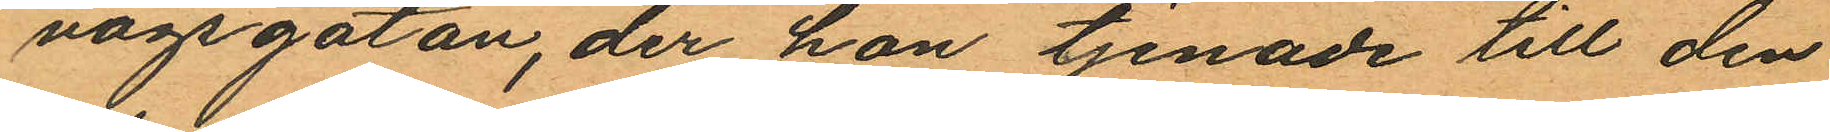vägsgatan, der hon tjenade till den
